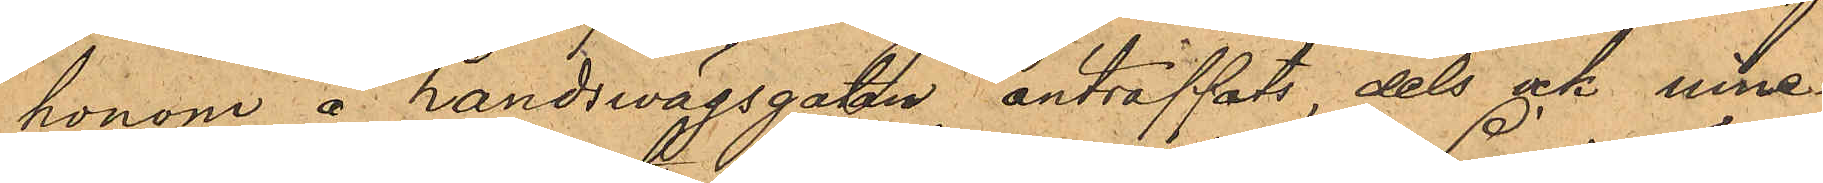honom å Landswägsgatan anträffats, dels ock inne¬
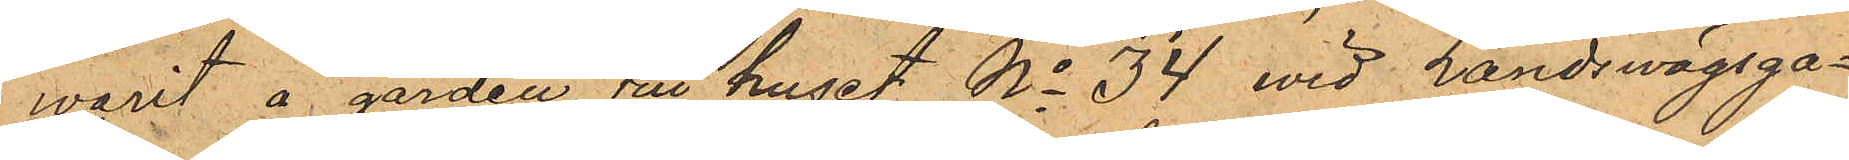warit å gården till huset No 34 vid Landswägsga¬
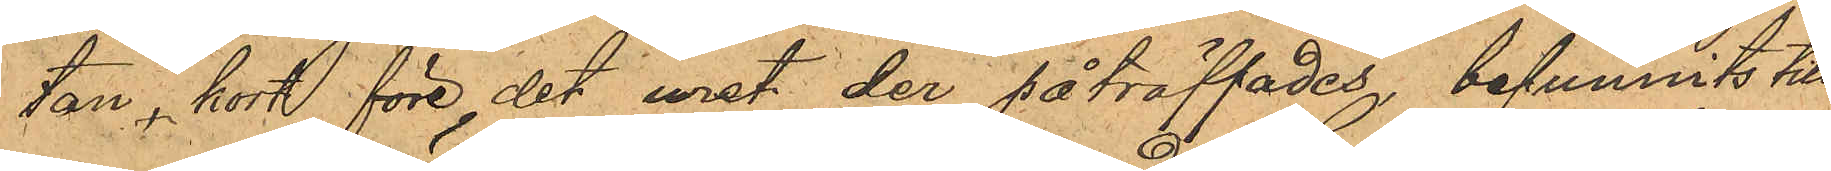tan, kort före det uret der påträffades, befunnits till
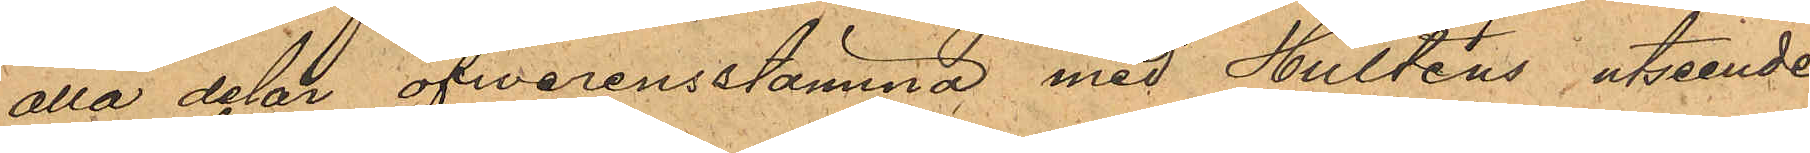alla delar öfwerensstämma med Hulténs utseende
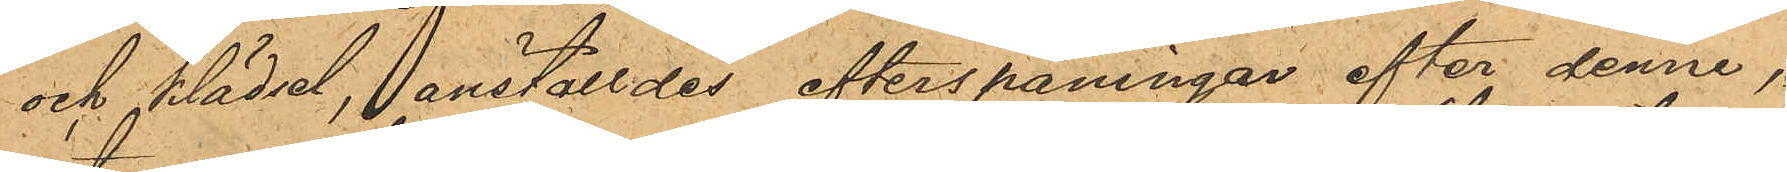och klädsel, anställdes efterspaningar efter denne,
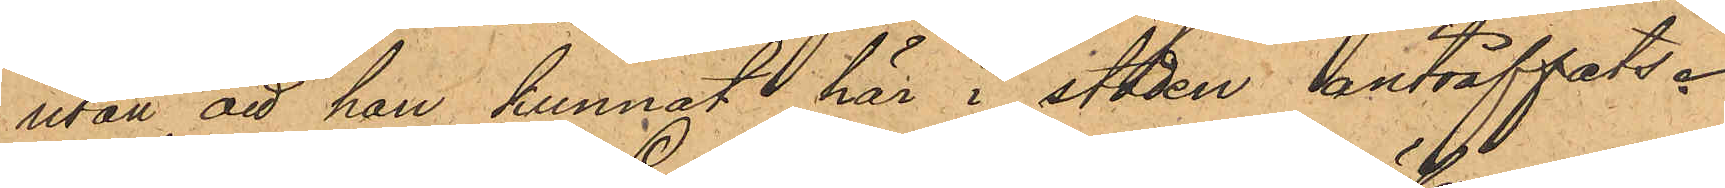utan att han kunnat här i staden anträffats.
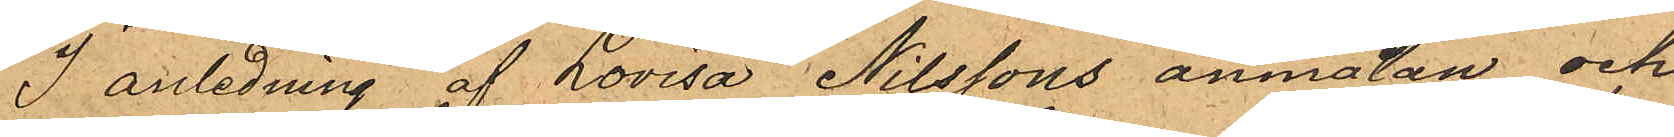I anledning af Lovisa Nilssons anmälan och
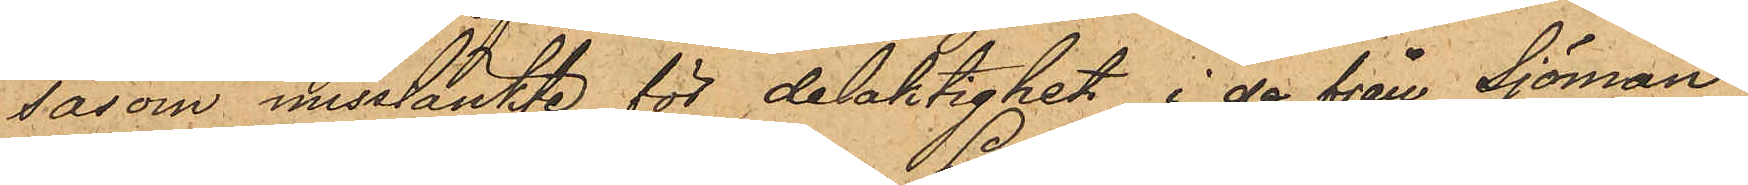såsom misstänkte för delaktighet i de från Sjöman¬
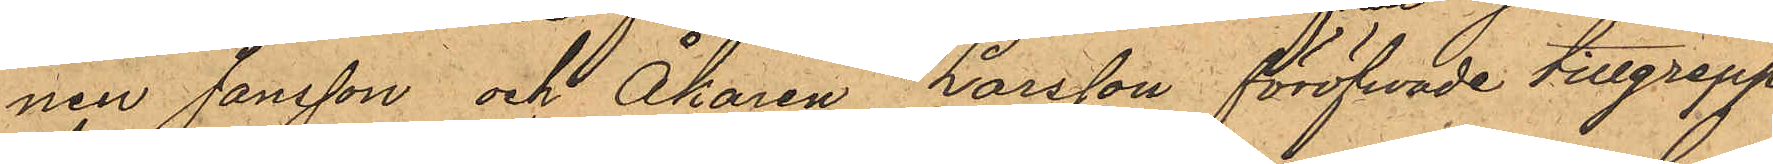nen Jansson och Åkaren Larsson föröfwade tillgrepp
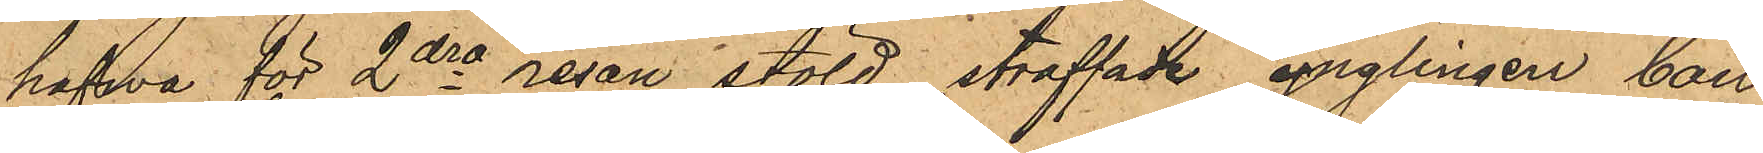hafva för 2dra resan stöld straffade ynglingen Carl
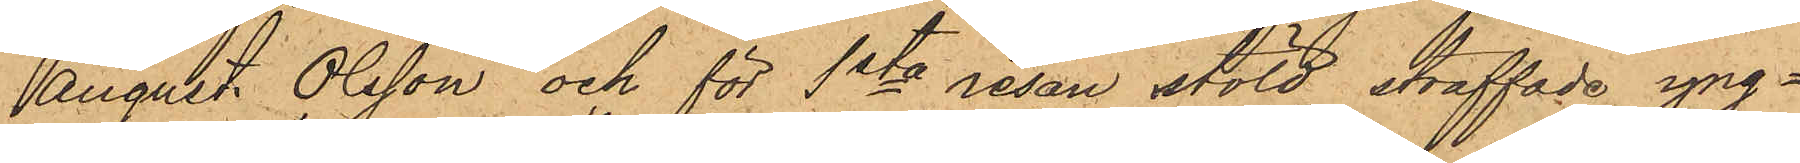August Olsson och för 1sta resan stöld straffade yng¬
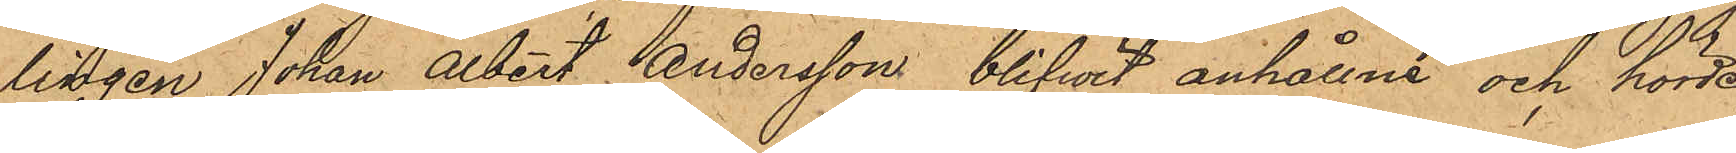lingen Johan Albert Andersson blifwit anhållne och hörde,
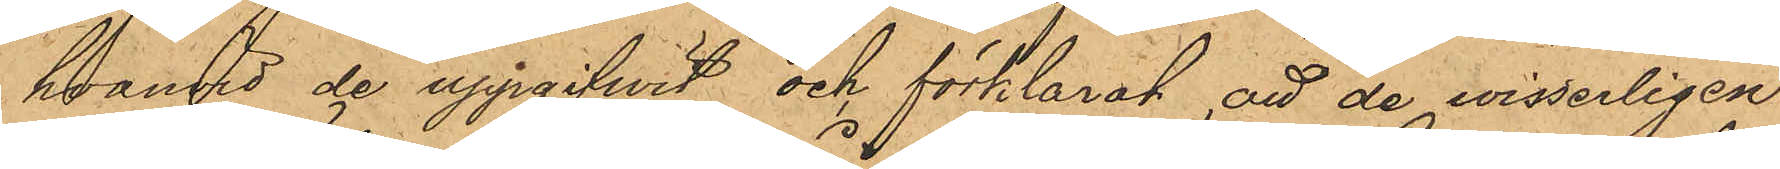hvarvid de uppgifwit och förklarat att de wisserligen
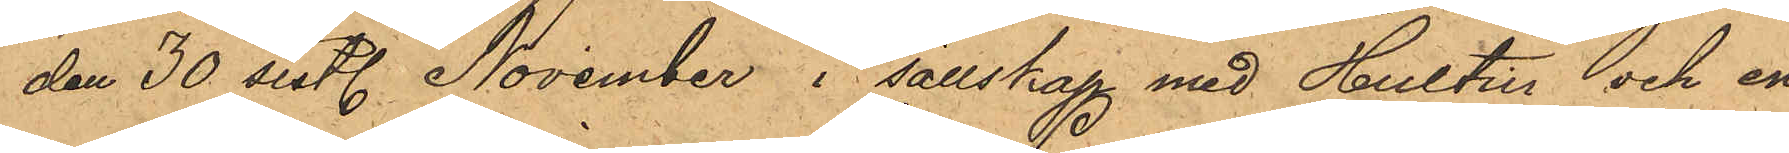den 30 sist. November, i sällskap med Hultin och en
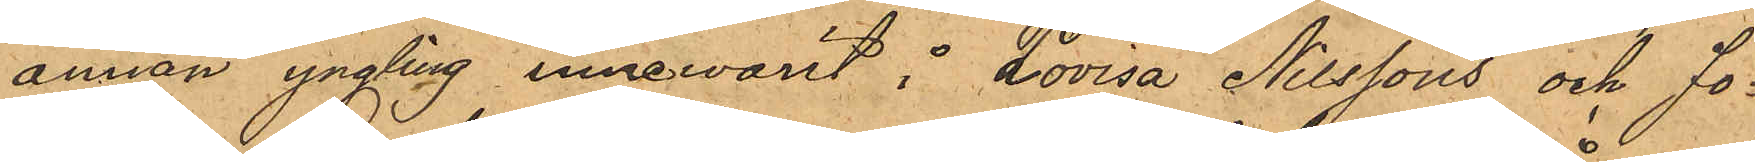annan yngling innewarit i Lovisa Nilssons och Jo¬
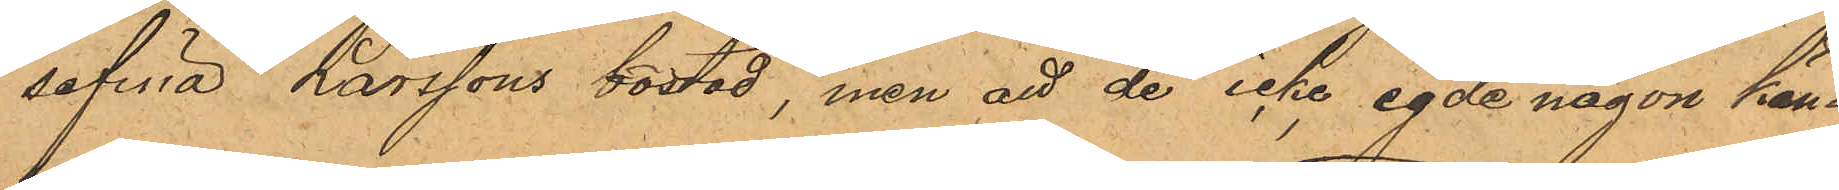sefina Larssons bostad, men att de icke egde någon kän¬
